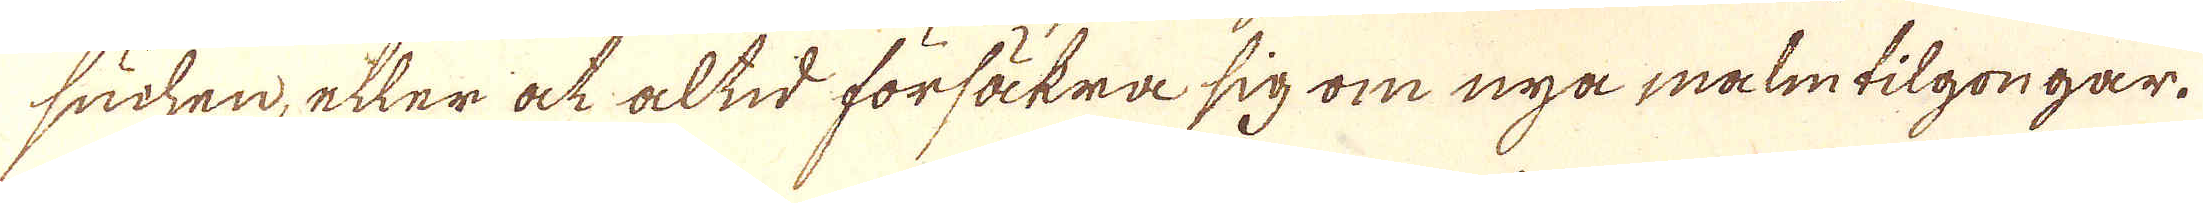suchen, eller ock altid försäkra sig om nya malmtilgongar.
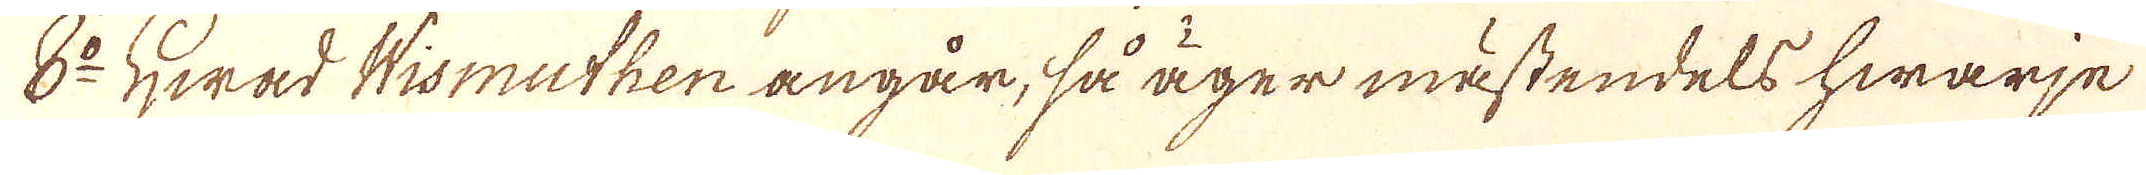8:o Hwad Wismuthen angår, så äger mästendels hwarje
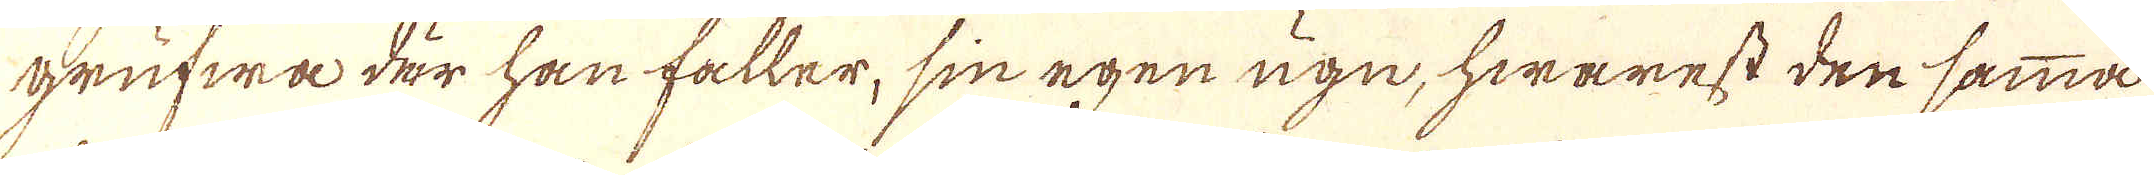grufwa där han faller, sin egen ugn, hwarest den samma
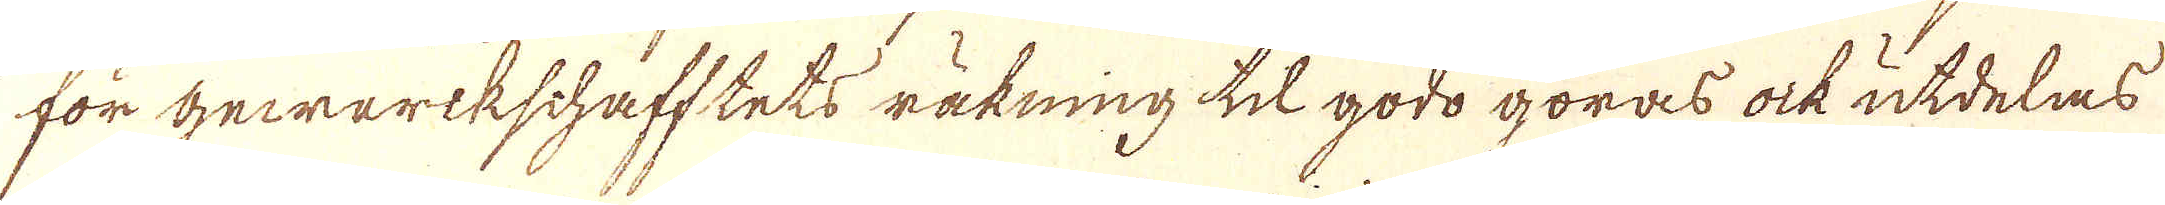för gewärkschafftets räkning til godo göras ock utdelas
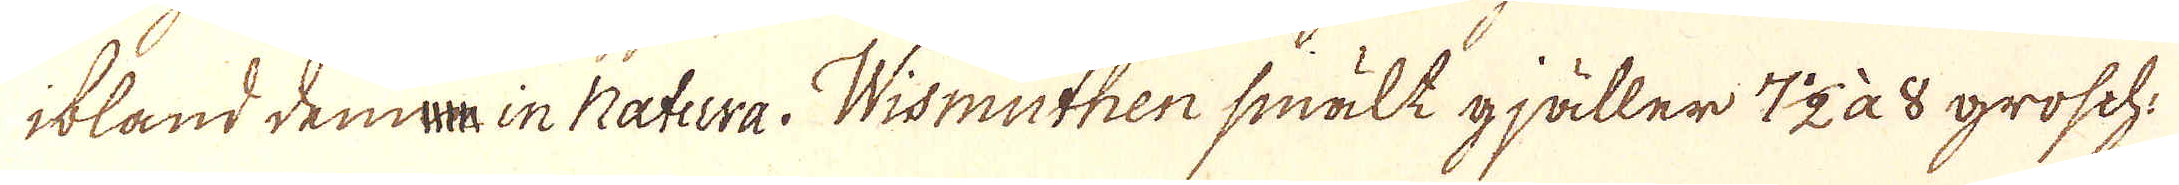ibland denna in Natura. Wismuthen smält gjäller 7 1/2 à 8 grosch.
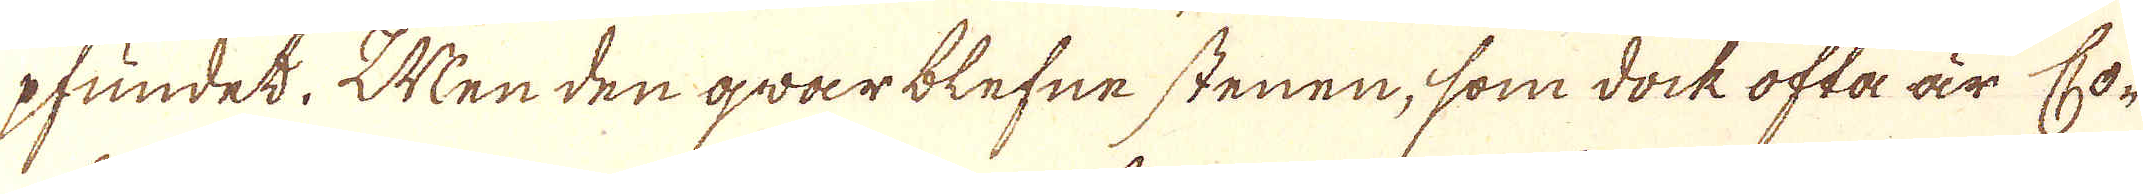pfundet. Men den qvarblefne stenen, som dock ofta är Co-
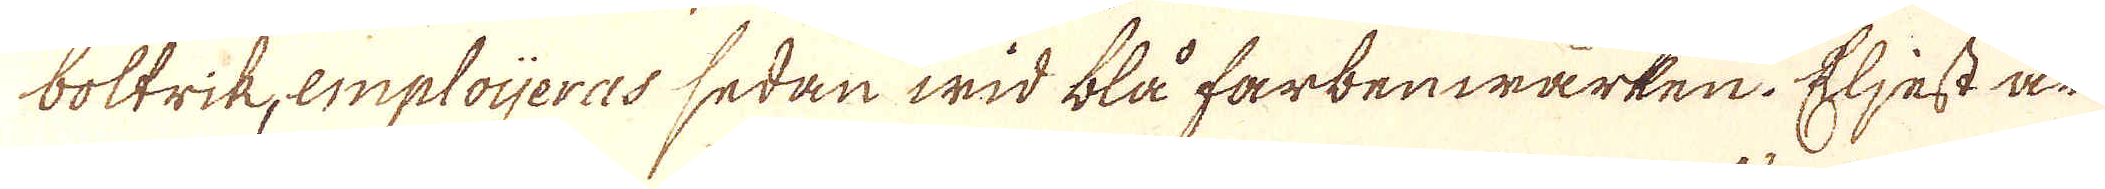boltrik emploijeras sedan wid blå farbenwärken. Eljest är
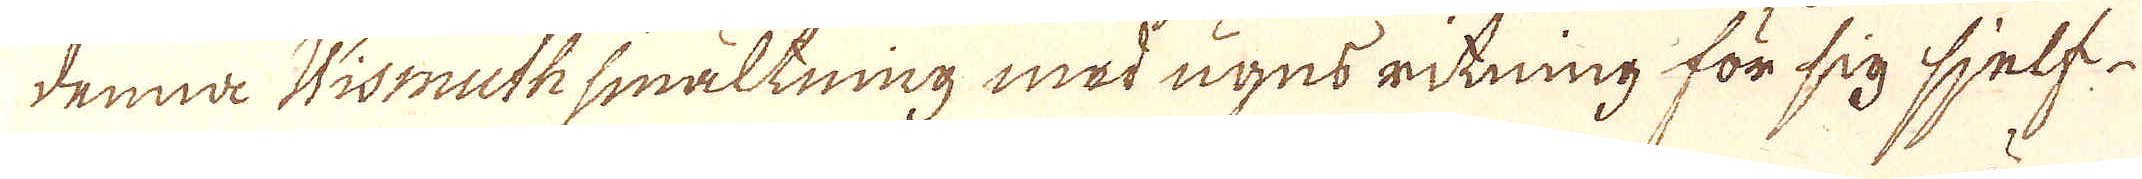denna Wismuthsmältning med ugns ritning för sig sjelf-
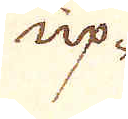up-
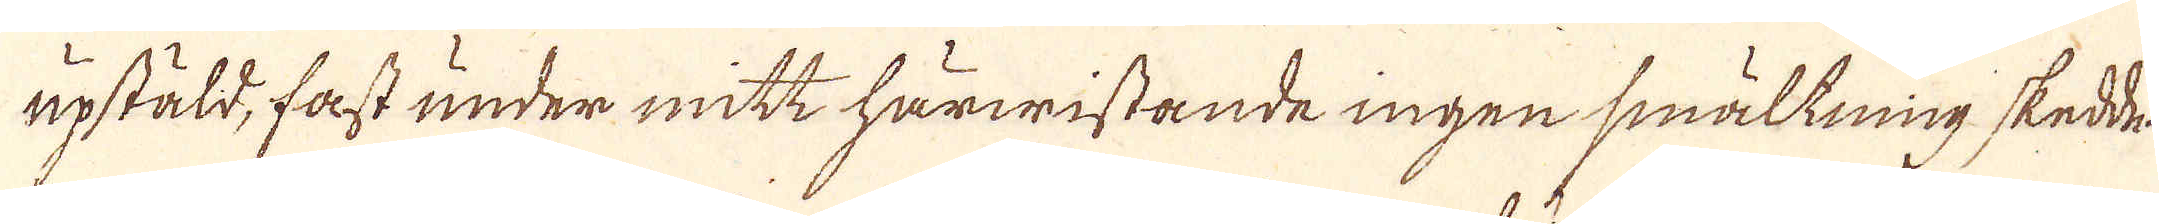upstäld, fast under mitt härwistande ingen smältning skedde
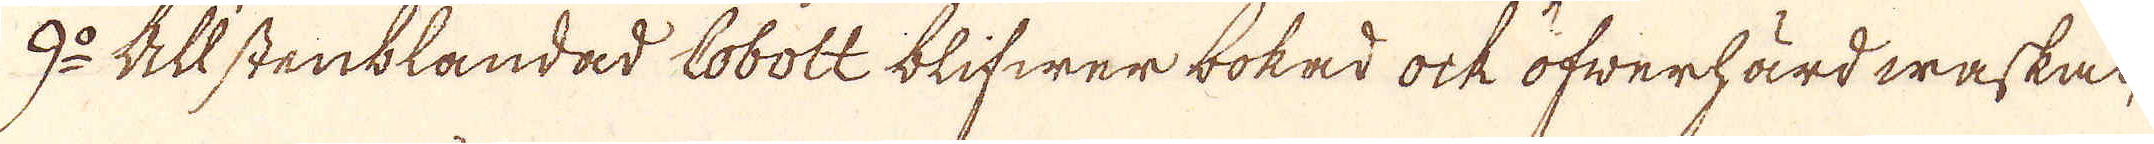9:o Allstenblandad Cobolt blifwer bokad ock öfwerhärdwaskad,
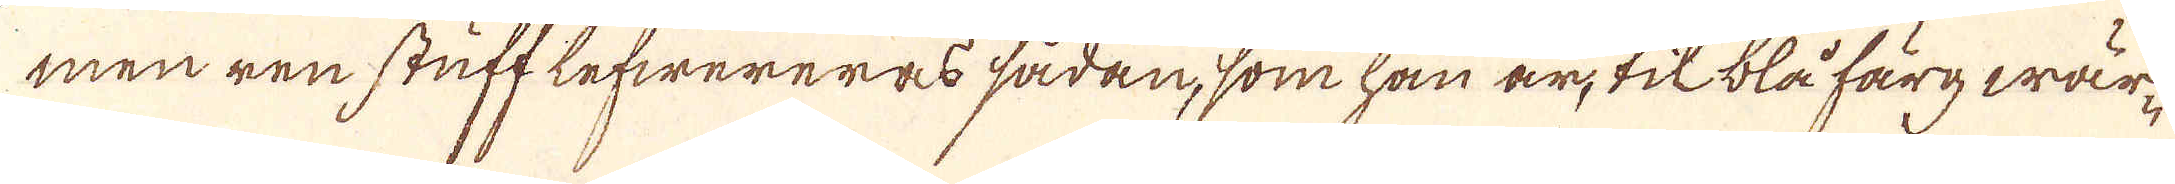men ren stuff lefwereras sådan, som han är, til blå färgwär-
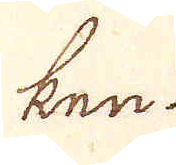ken.
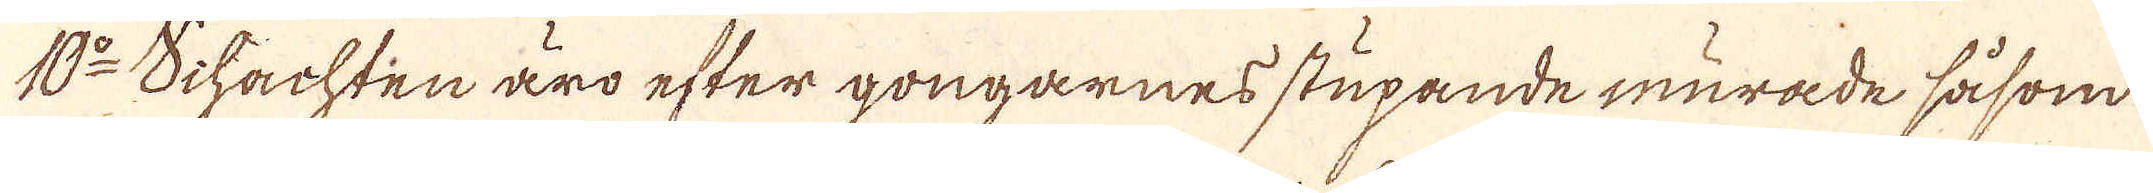10:o Schachten äro efter gongarnes stupande murade såsom
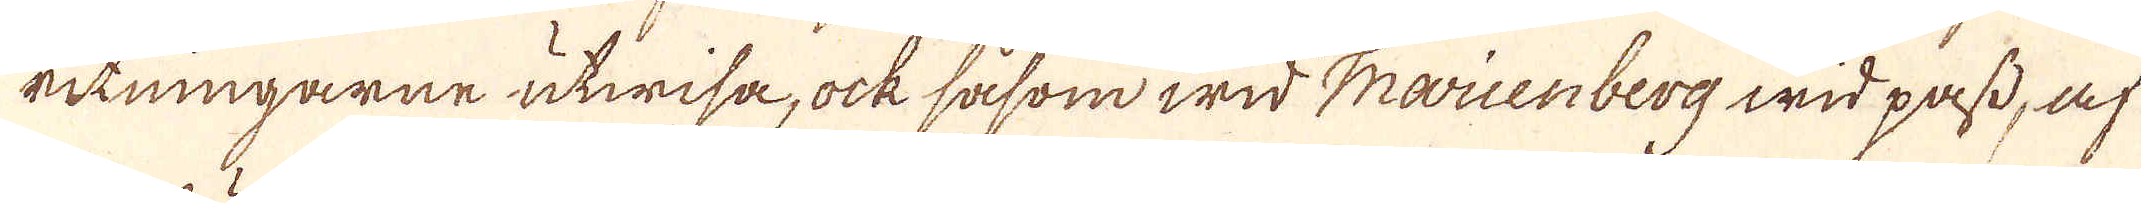ritningarne utwisa, ock såsom wid Marienberg wid pass, af
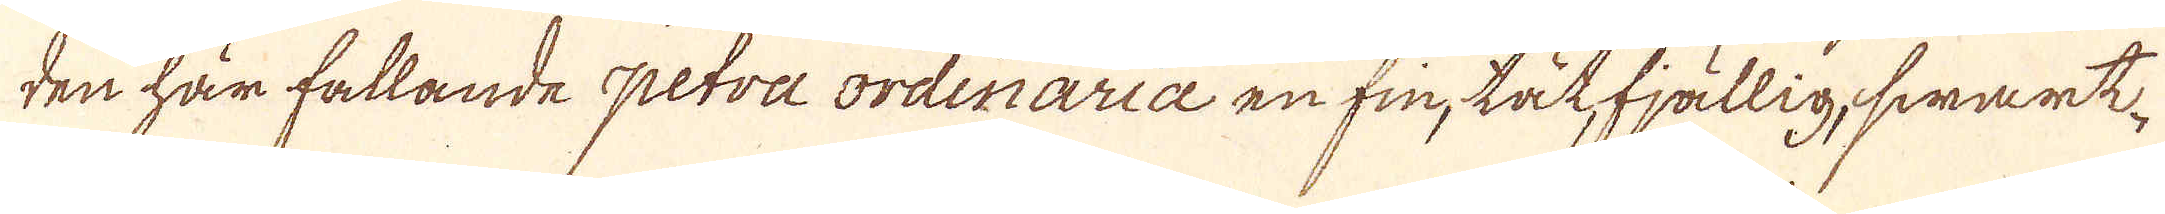den här fallande petra ordinaria en fin, tätfjällig, swart-
